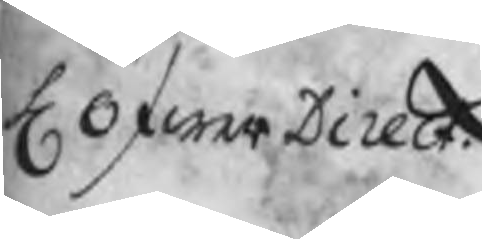H ÖfwerDirect.
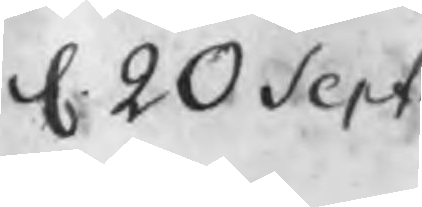d. 20 Sept
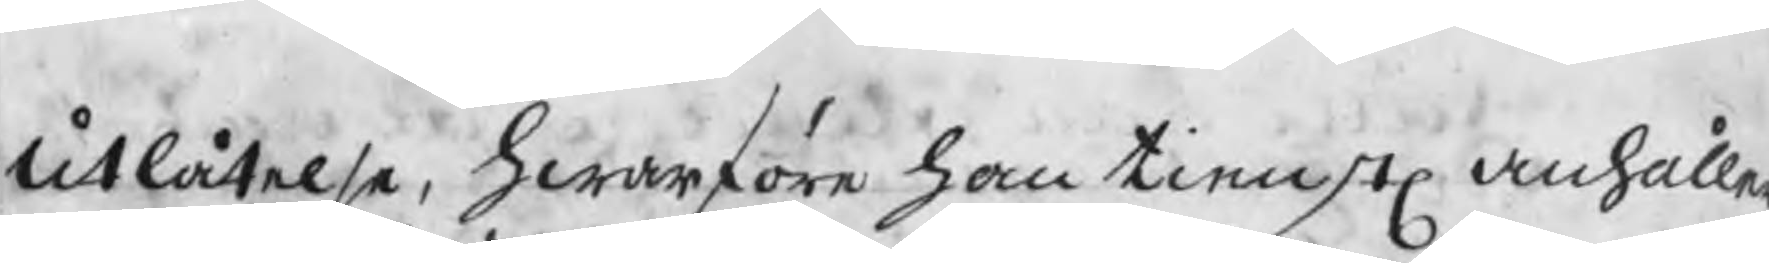utlåtelse, hwarföre han tienstl anhåller
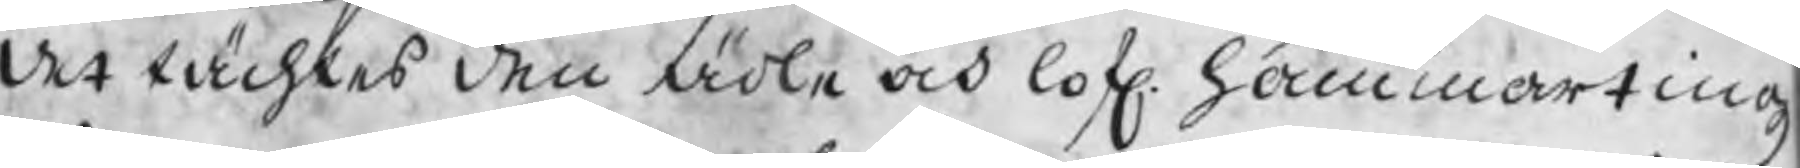det tächtes den ädle och lofl. hammartingz
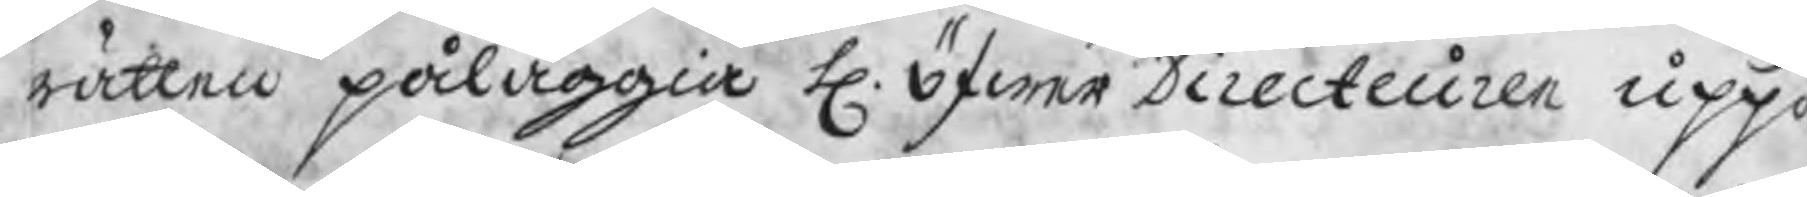rätten påläggia H. Öfwer Directeuren uppå
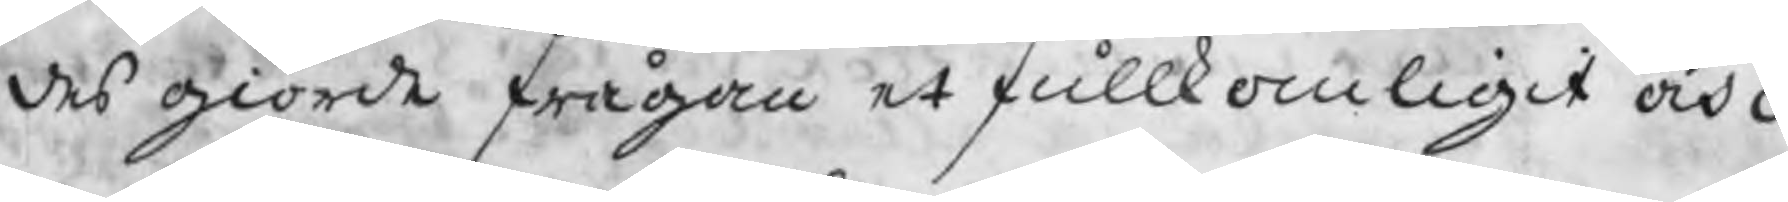des giorde frågan et fullkomligit och n
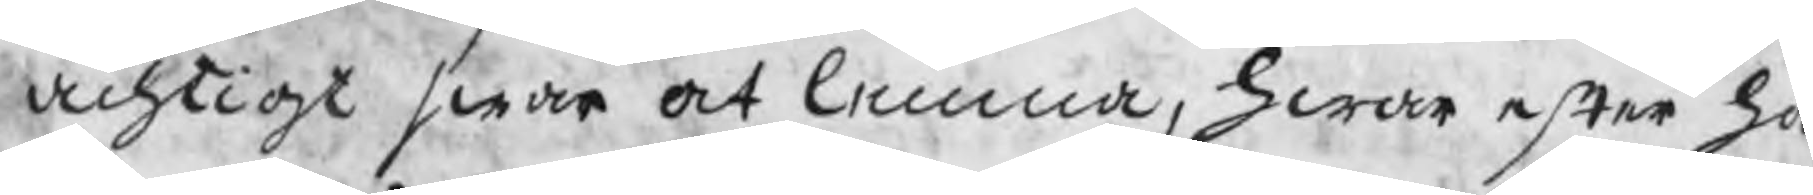achtigt swar at lemna, hwar efter ha
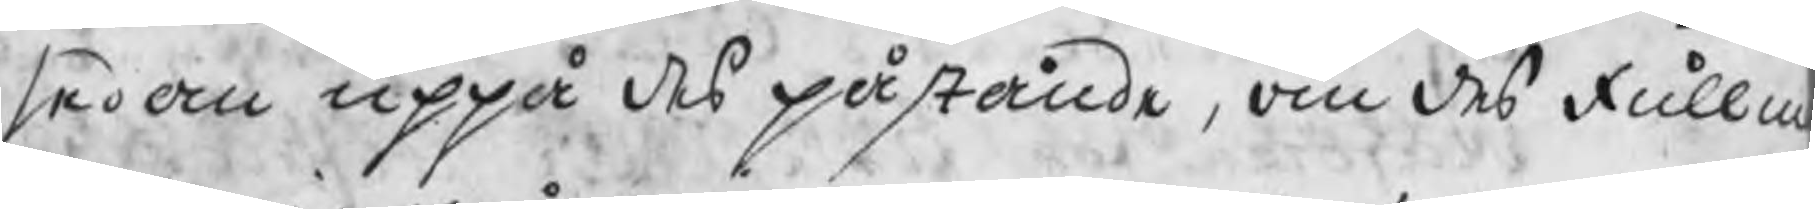sedan uppå des påstående, om des fullm
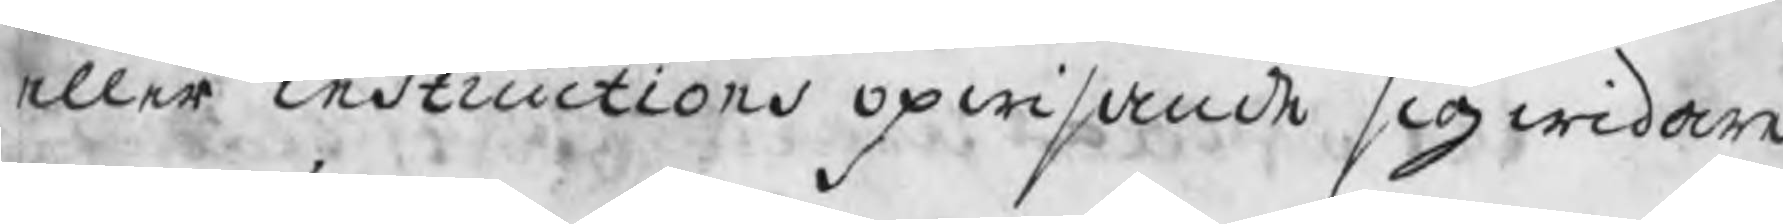eller instructions opwisande sig widare
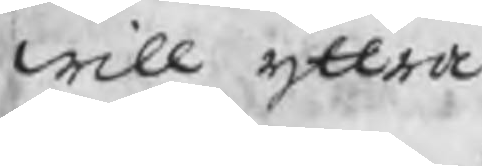will yttra.
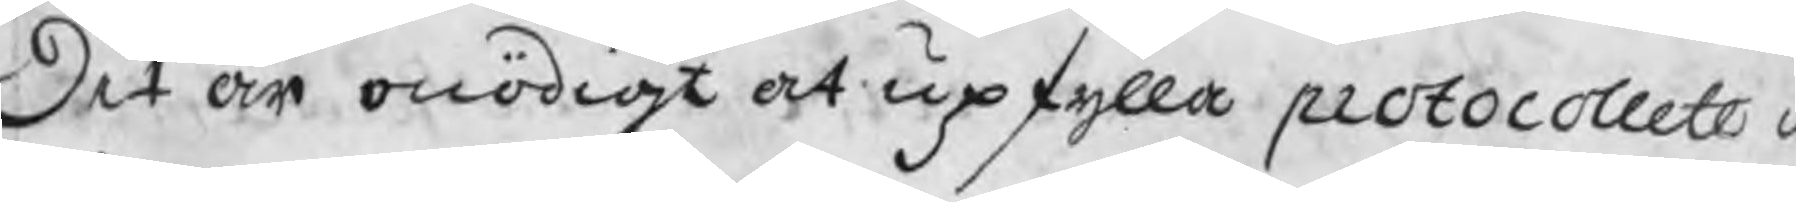Det är onödigt at upfylla protocollet m
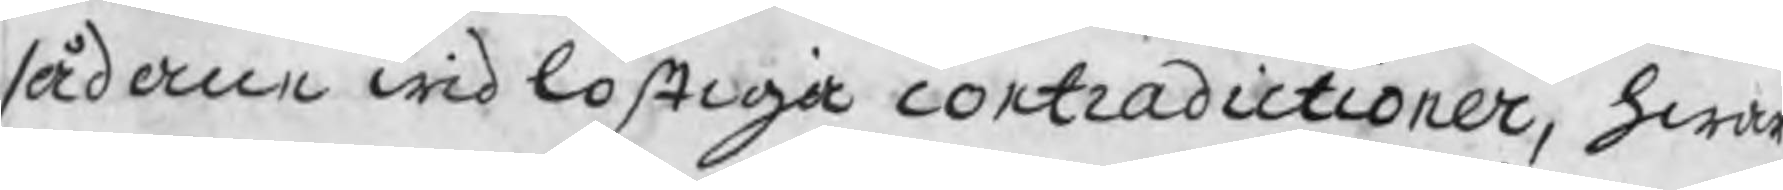sådane widlöftiga contradictioner, hwar
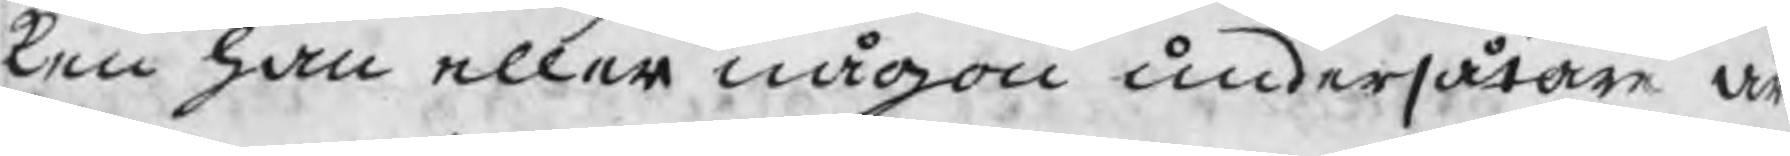kan han eller någon undersåtare är
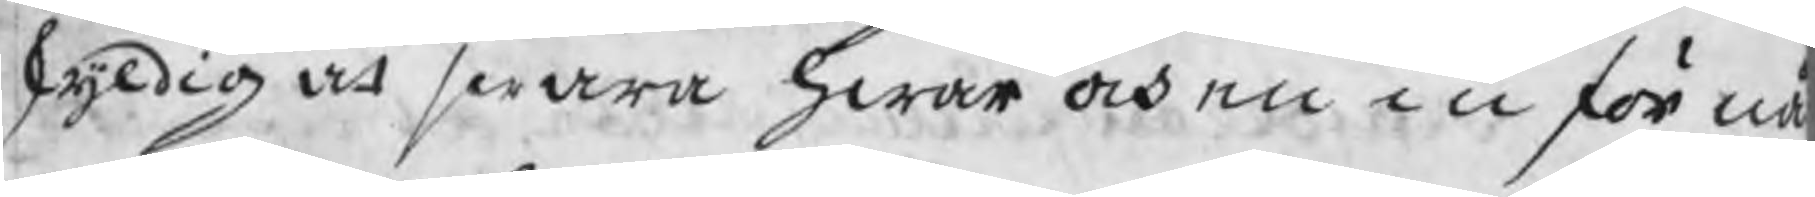skyldig at swara hwar och en inför nå
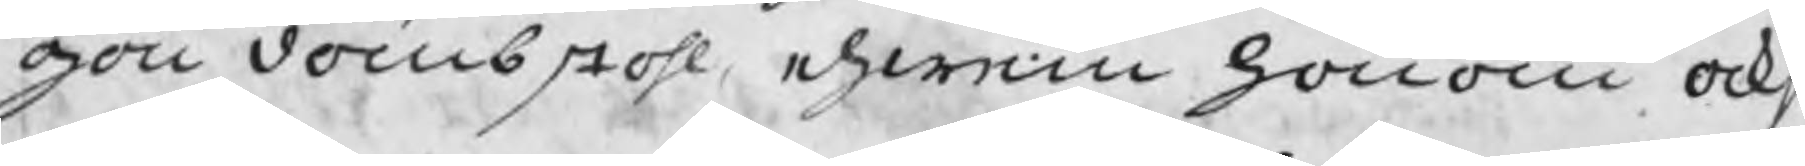gon dombstohl ehwen honom ocks
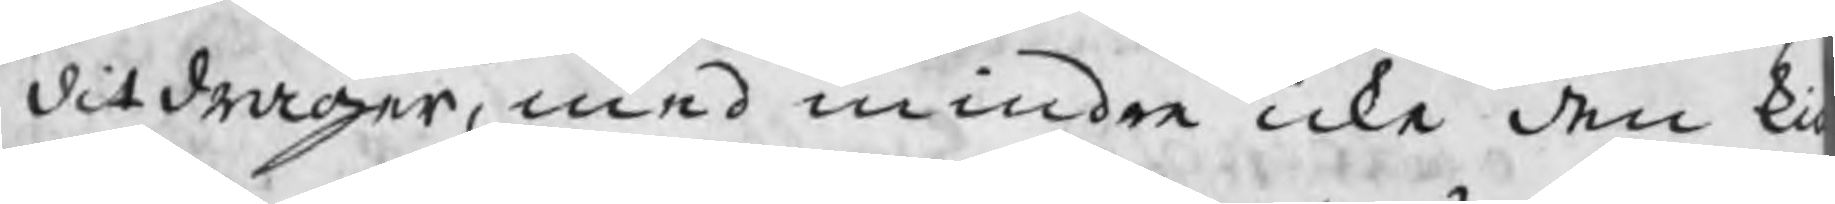ditdrager, med mindre icke den ki
